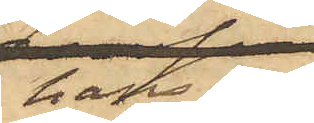hans son
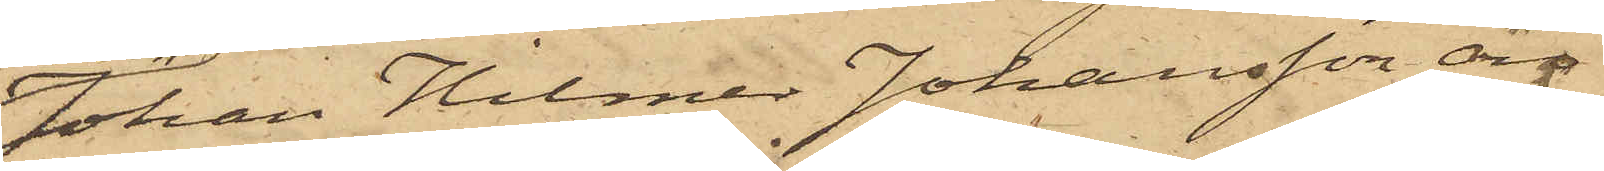Johan Hilmer Johansson äro
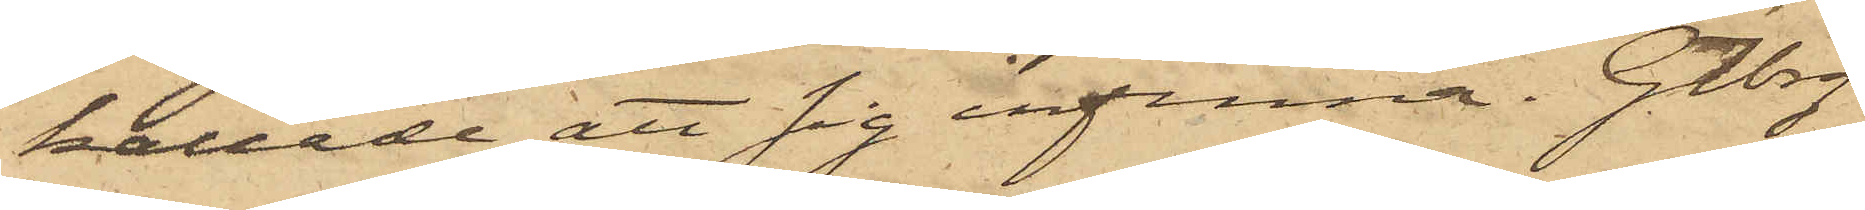kallade att sig infinna. Gtbrg
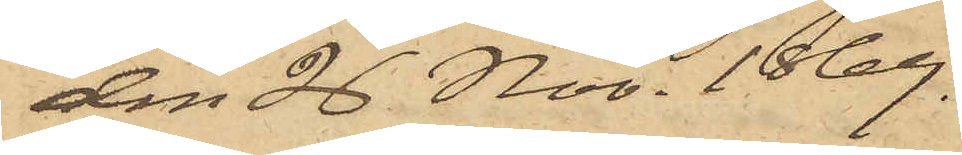den 26 Nov. 1869.
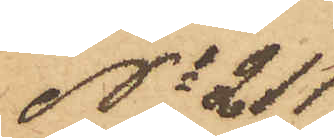No 211
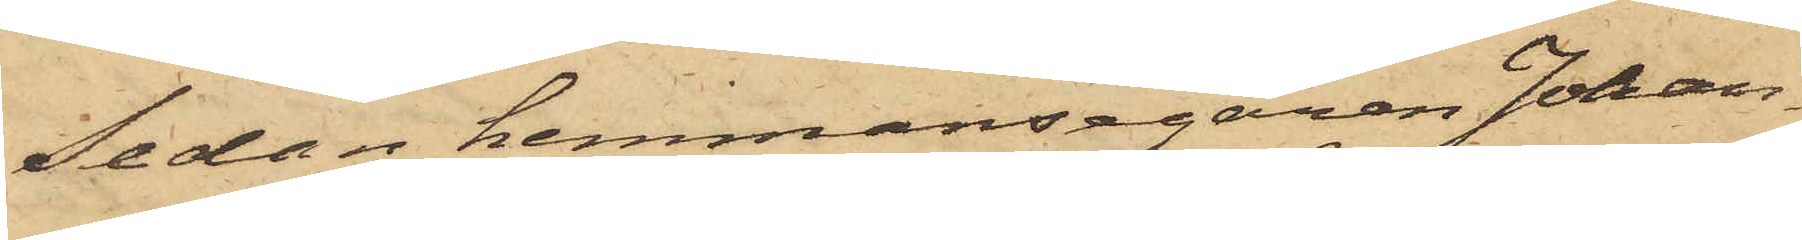Sedan hemmansegaren Johan¬
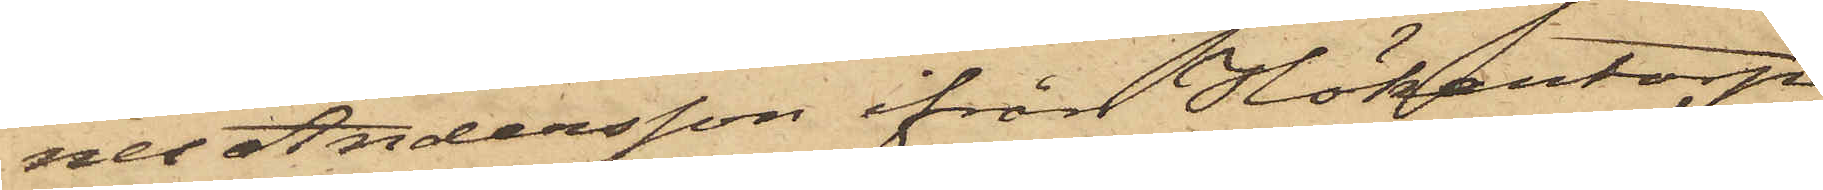nes Andersson ifrån Hökentorp
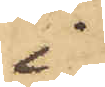i
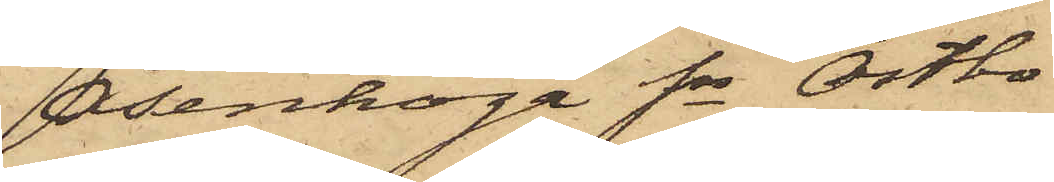Åsenhöga Sn Östbo
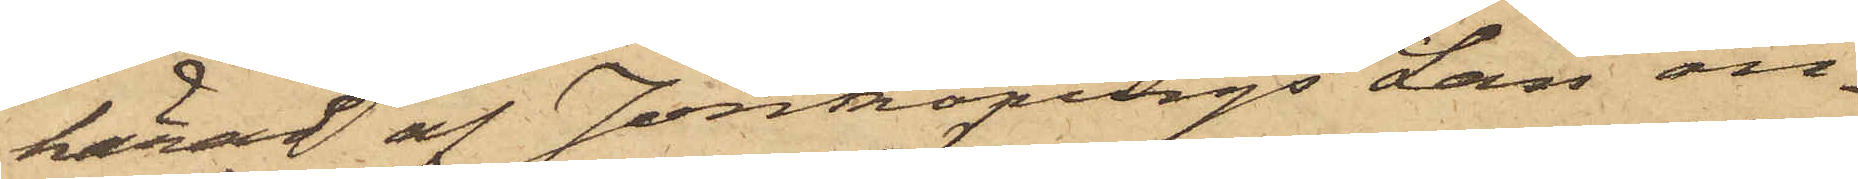härad af Jönköpings Län an¬
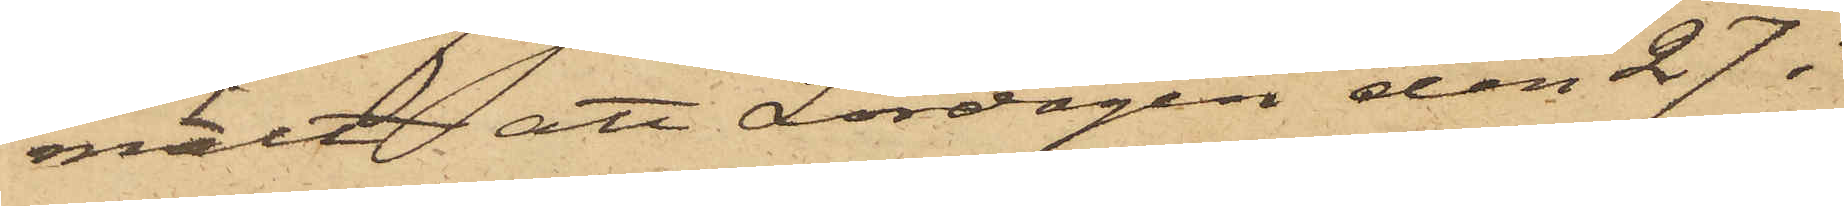mält att Lördagen den 27 i
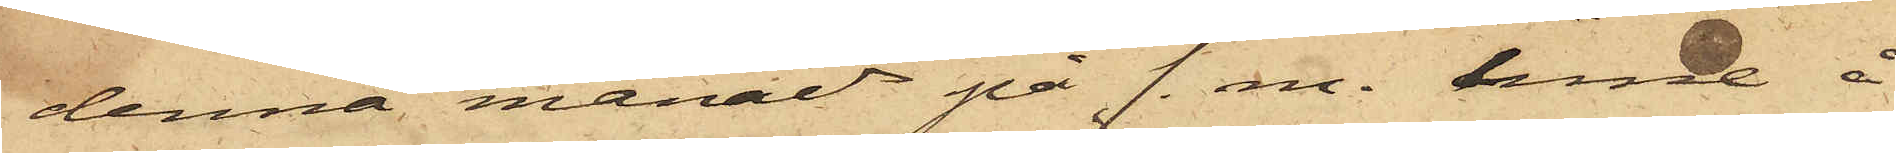denna månad på f. m. inne å
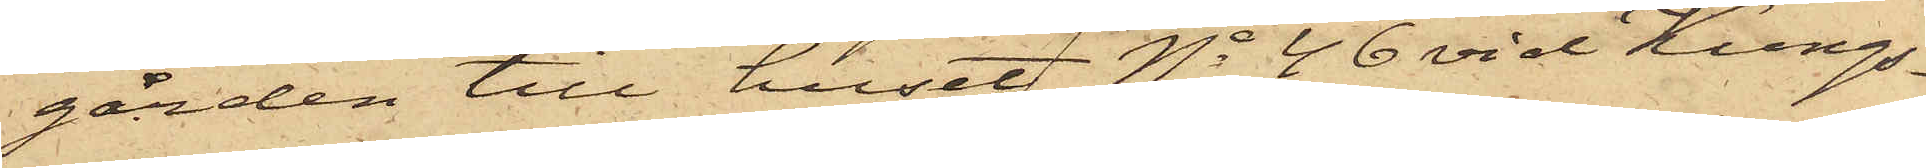gården till huset No 46 vid Kungs¬
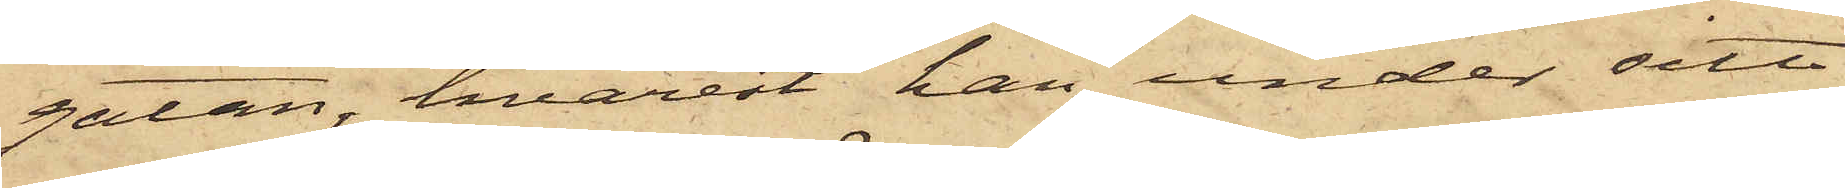gatan, hvarest han under sitt
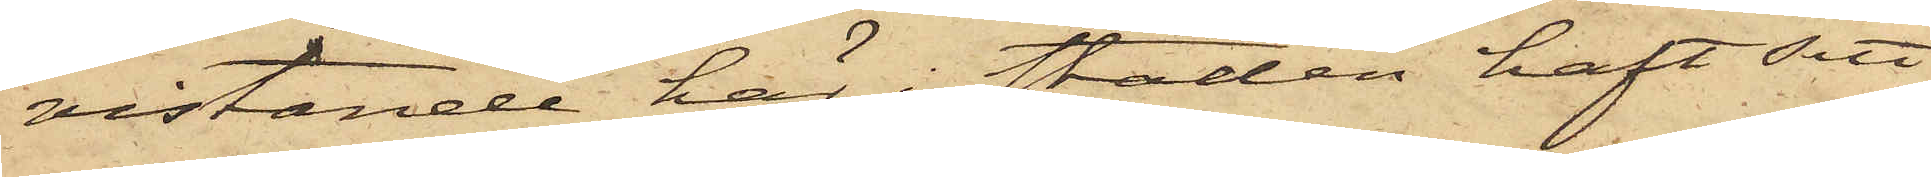vistande här i staden haft sitt
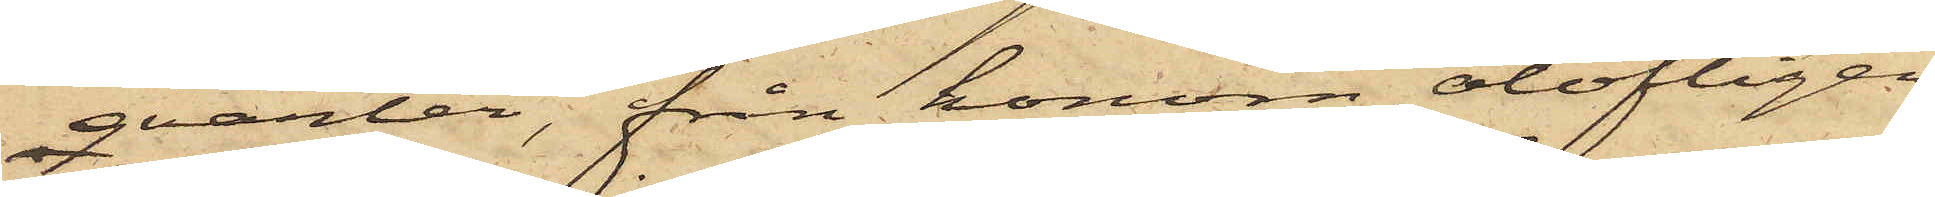qvarter, från honom olofligen
